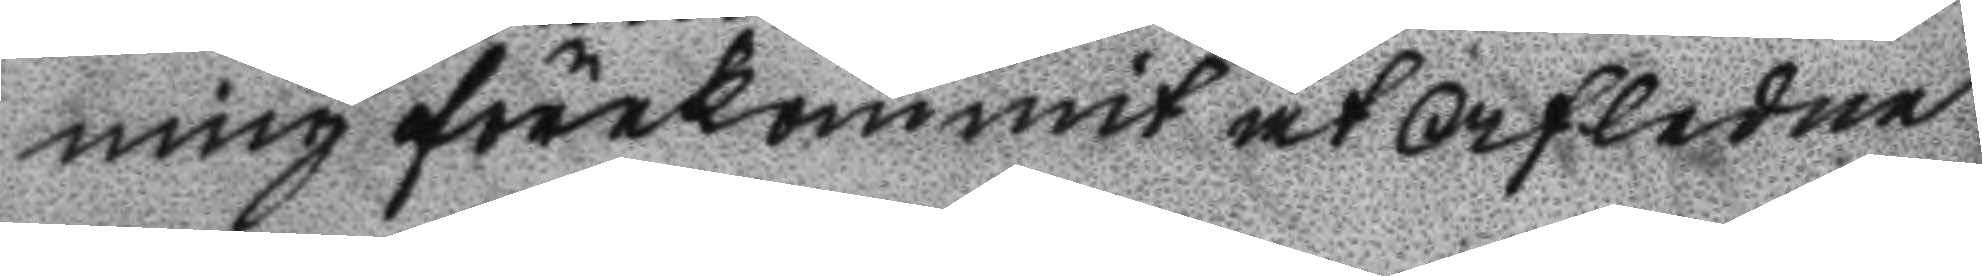ning förekommit at afledne
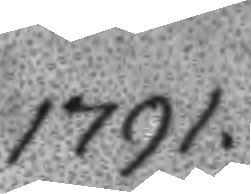1791.
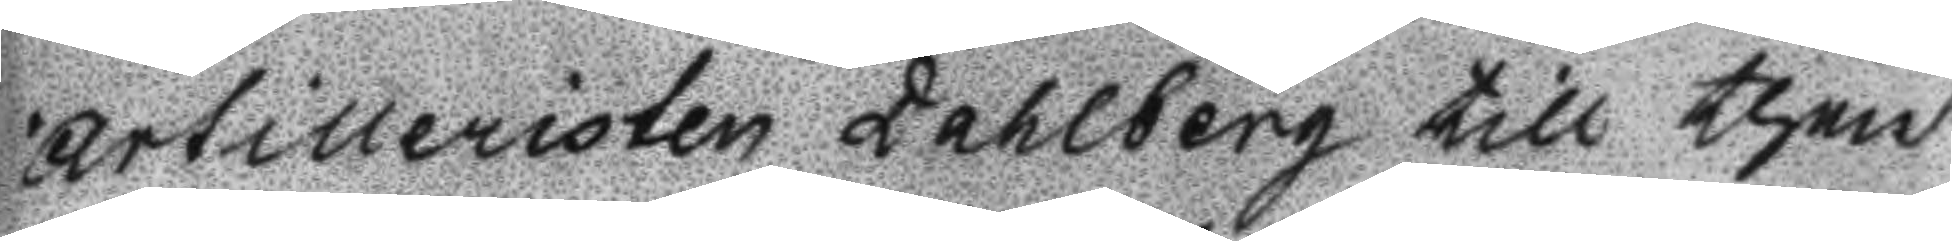artilleristen Dahlberg till then
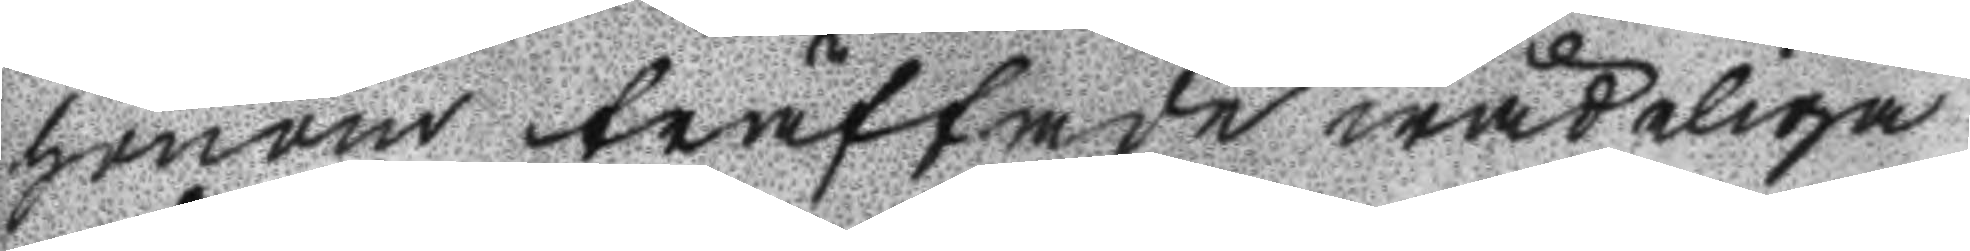honom träffade wådeliga
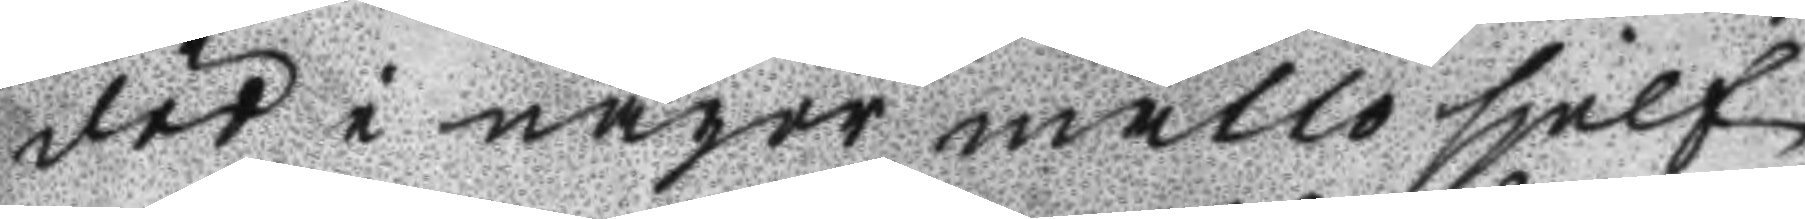död i något måtto sjelf
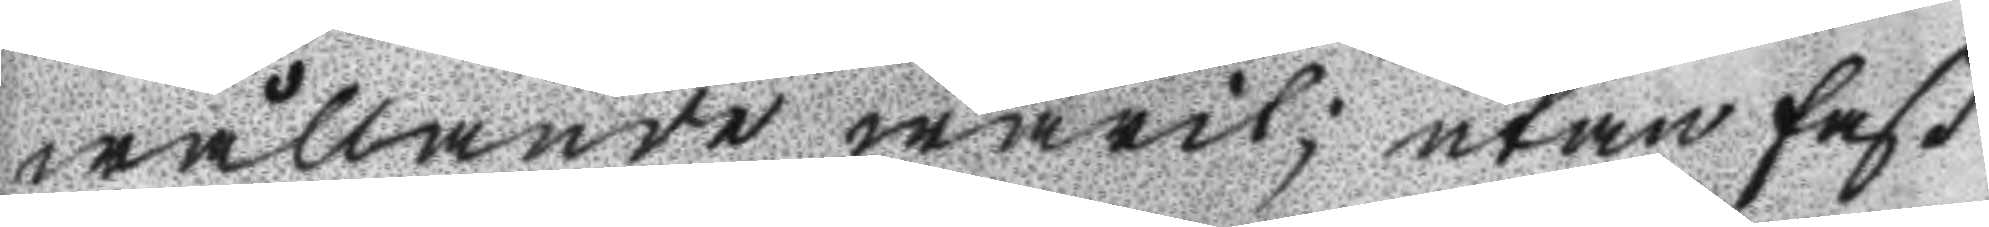wållande warit; utan fast
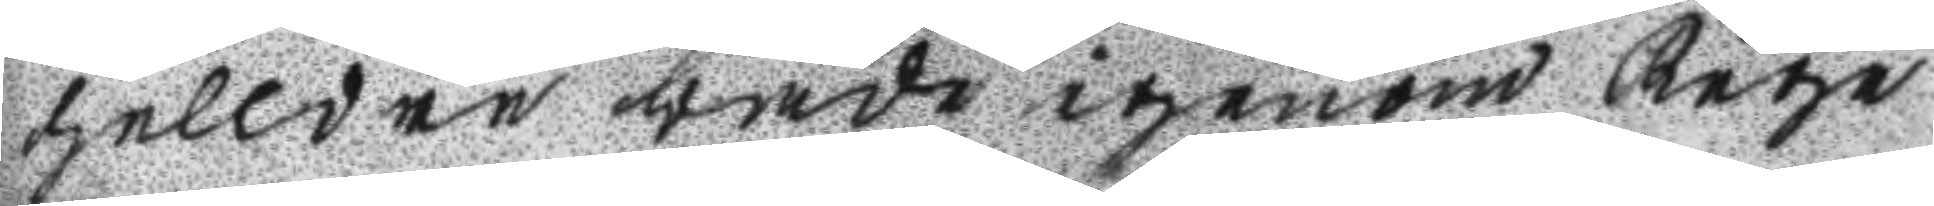helldre både igenom Rege
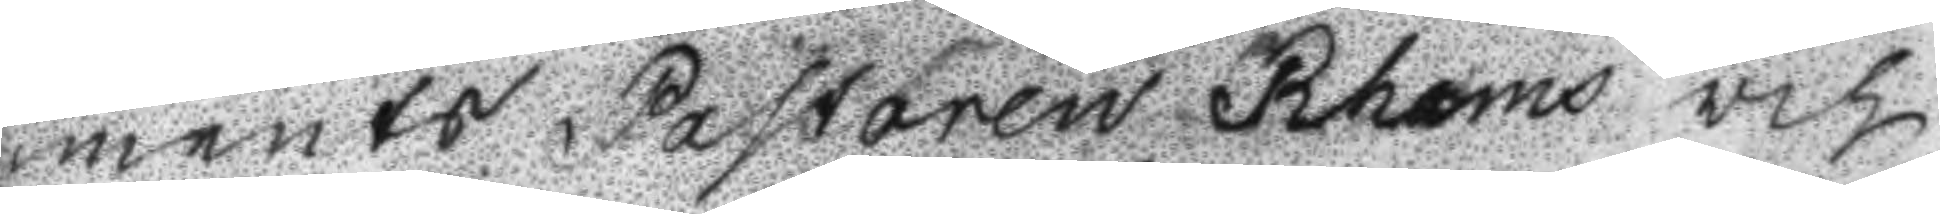ments Pastoren Rahms och
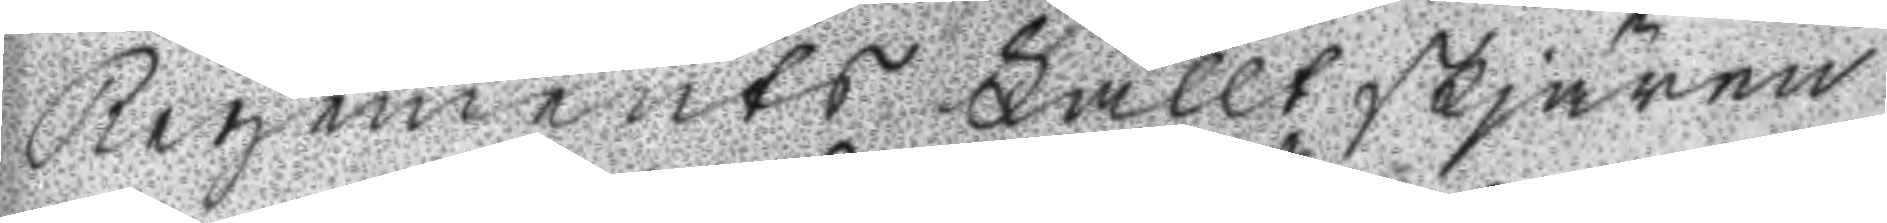Regements Fälltskjären
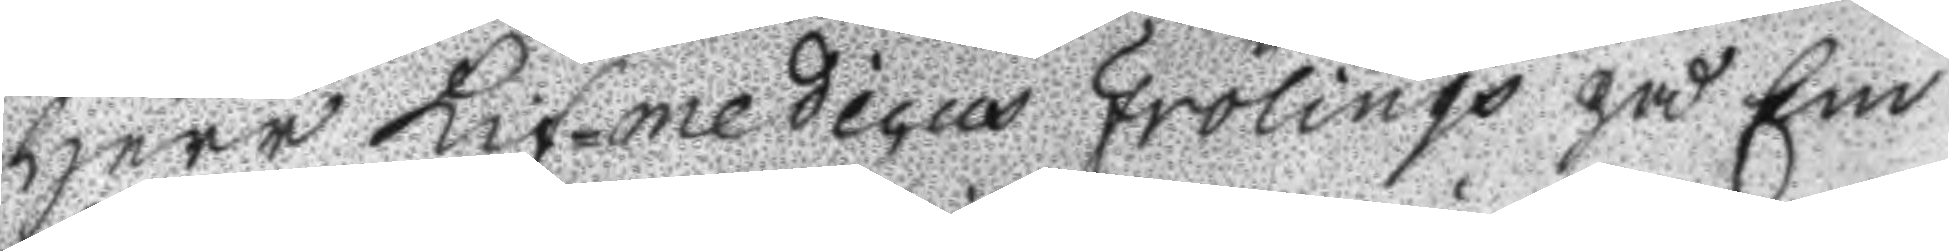Herr Lif-medicus Frölings på Em
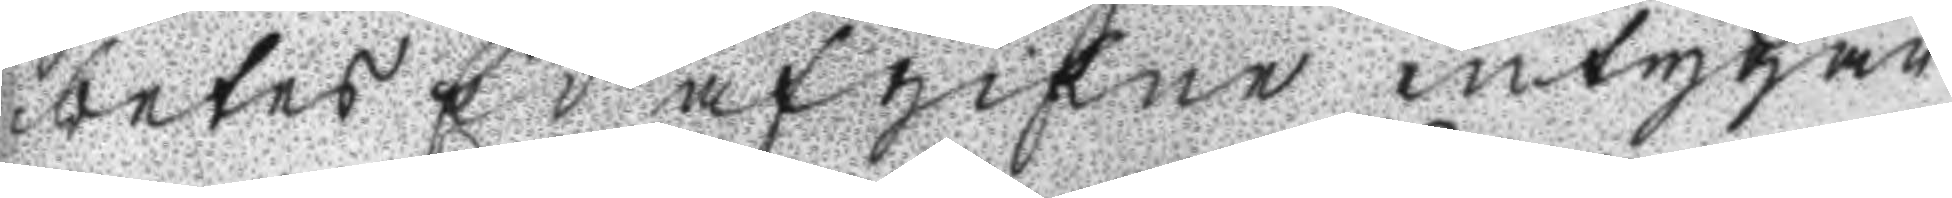betes Ed afgifne intygan
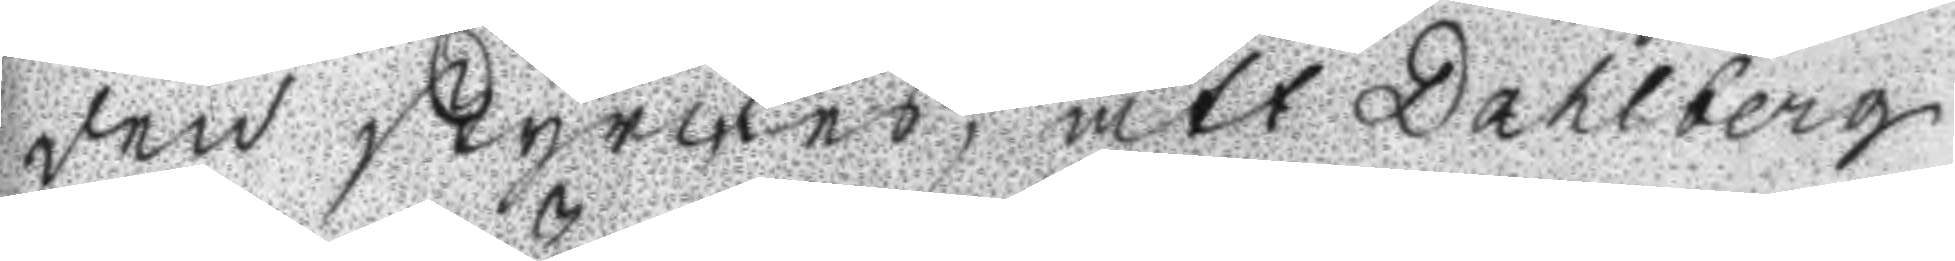den styrckes, att Dahlberg
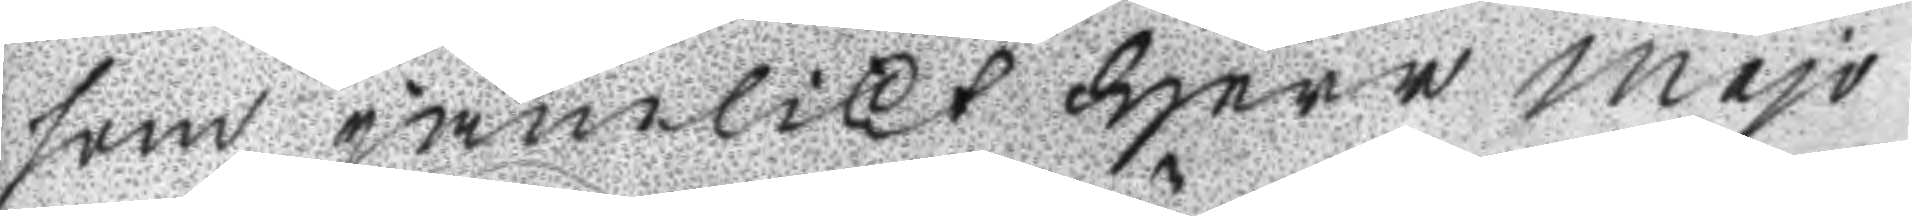som jämlikt Herr majo
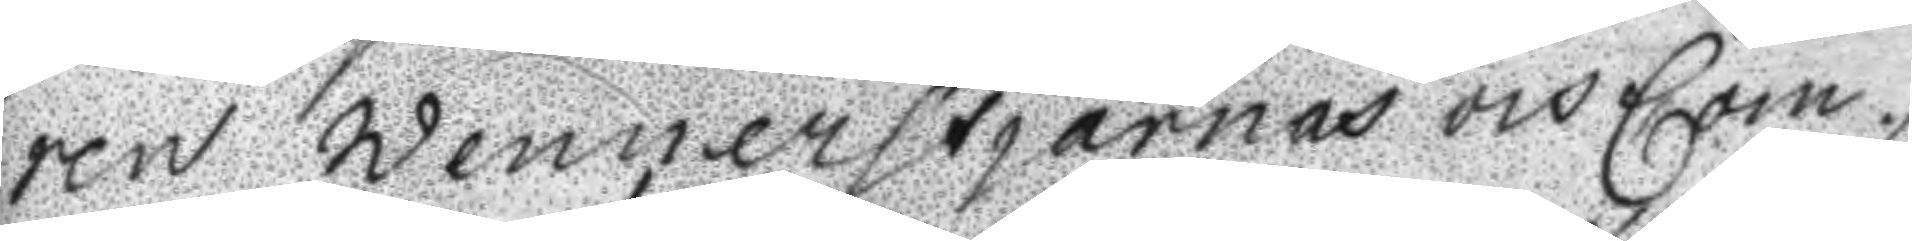ren Wennerstjärnas och Com
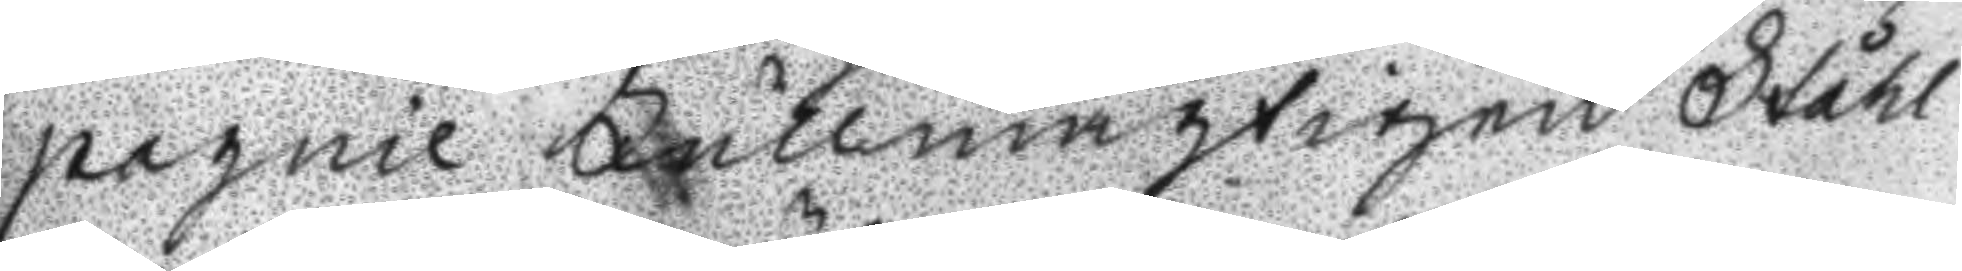pagnie Fullmägtigen Ståhl
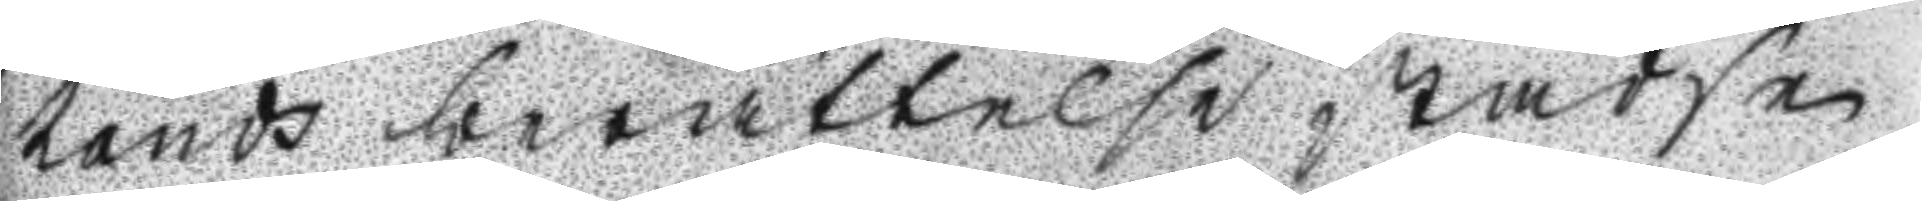hands berättelse städse
